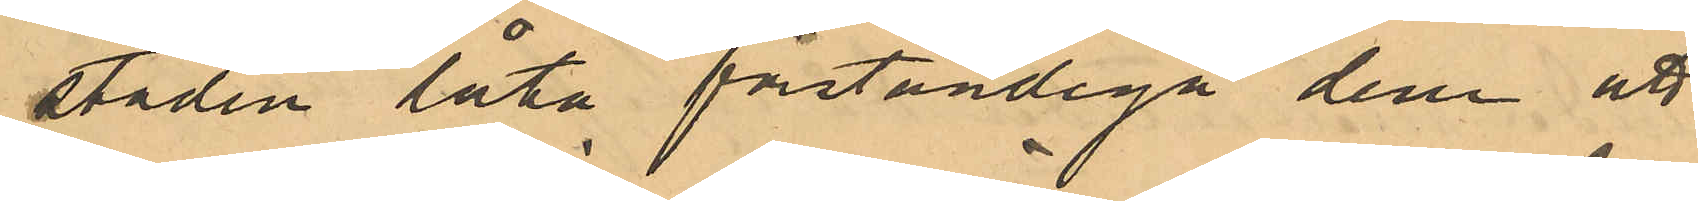staden låta förständiga dem att
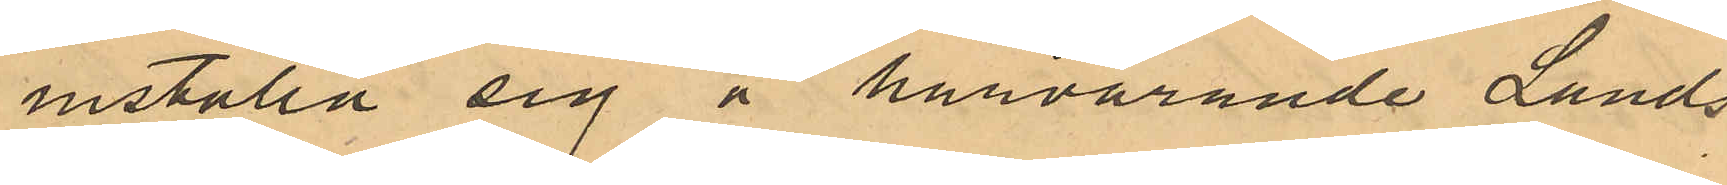inställa sig å härvarande Lands¬
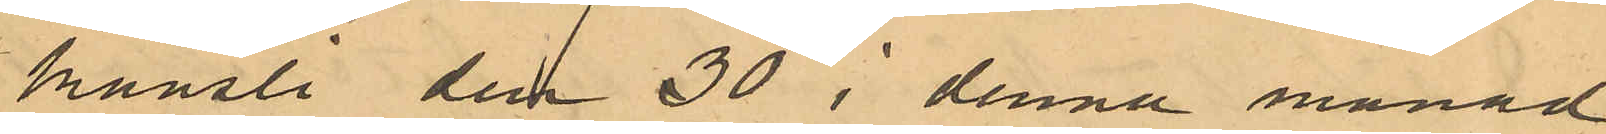kansli den 30 i denna månad
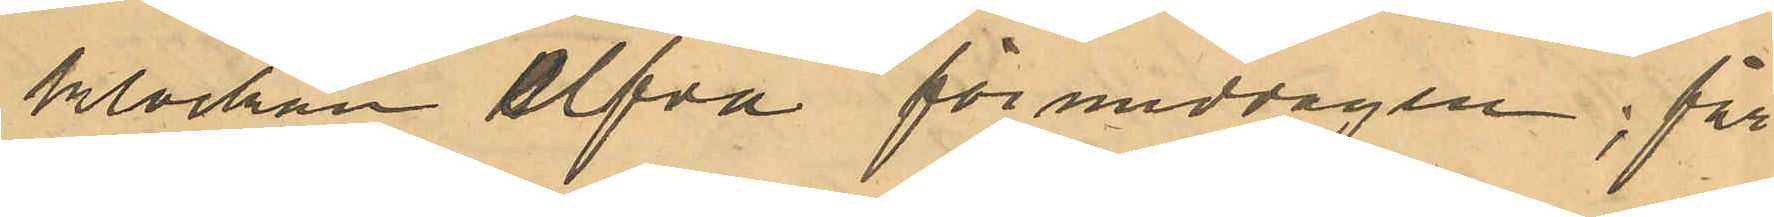klockan elfva förmiddagen; för
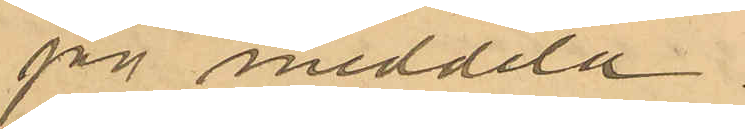jag meddela.
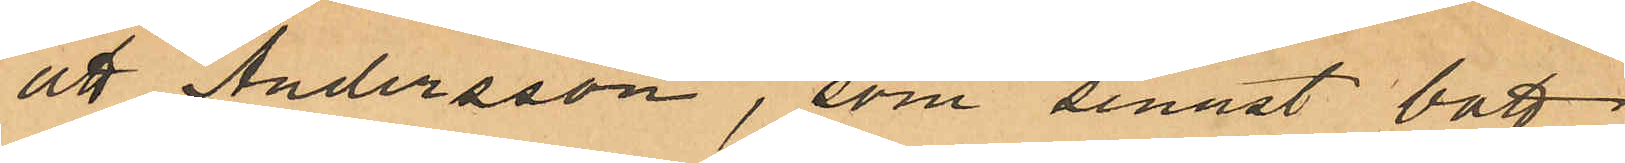att Andersson, som senast bott
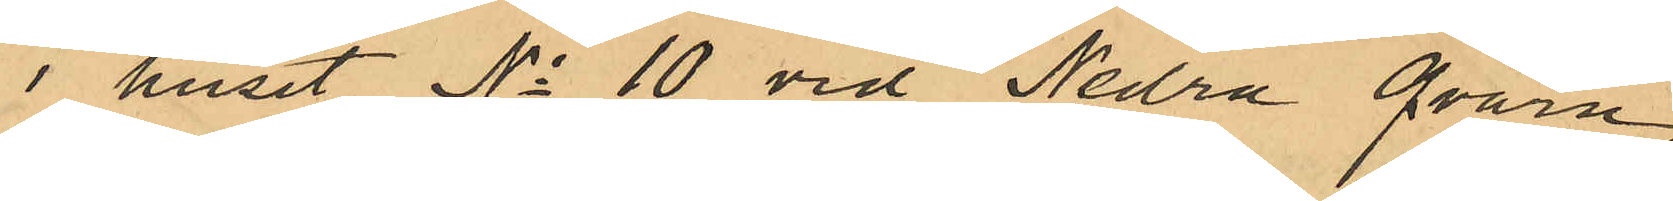i huset No 10 vid Nedra Qvarn¬
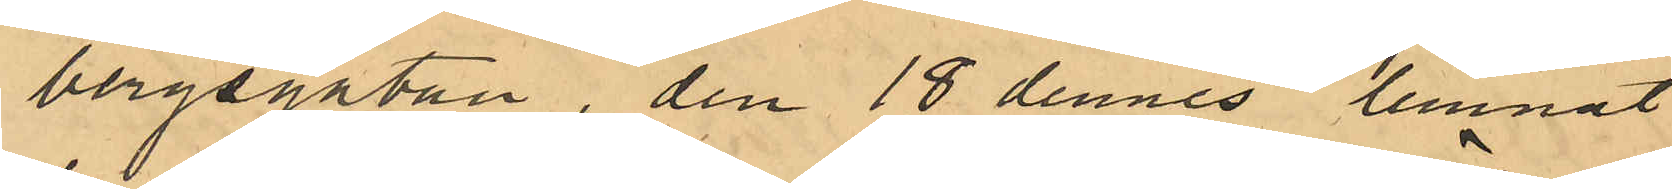bergsgatan, den 18 dennes lemnat
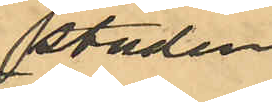staden
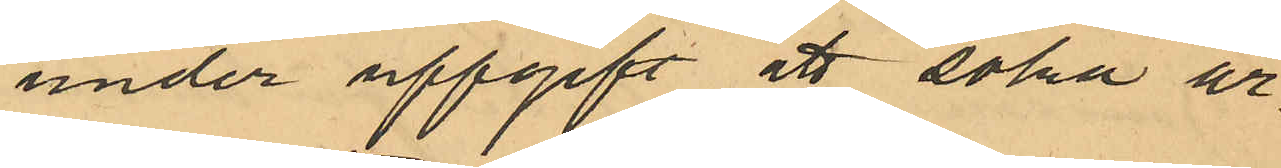under uppgift att söka ar¬
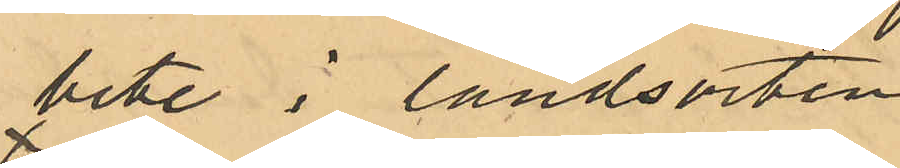bete i landsorten
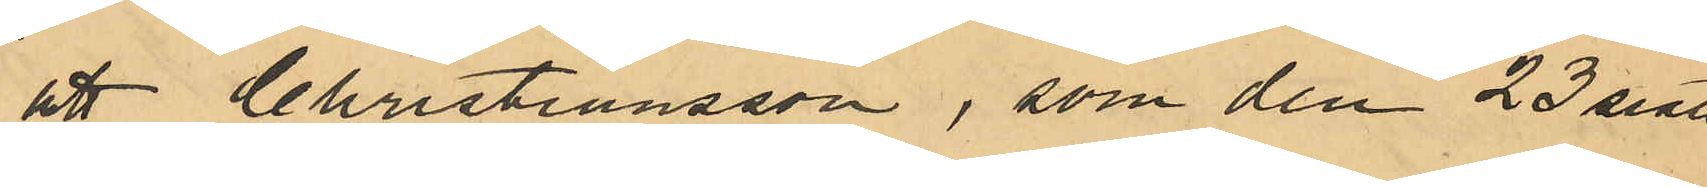att Christiansson, som den 23 sistl
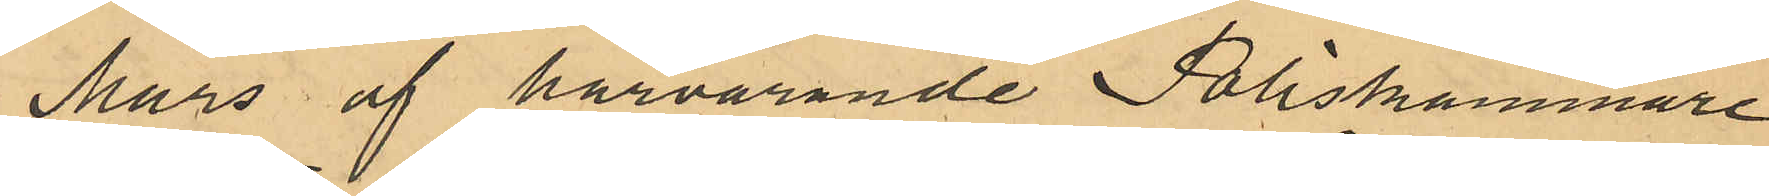Mars af härvarande Poliskammare
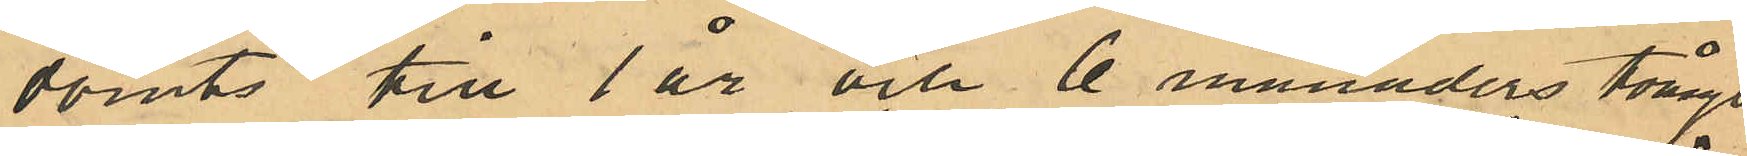dömts till 1 år och 6 månaders tvångs¬
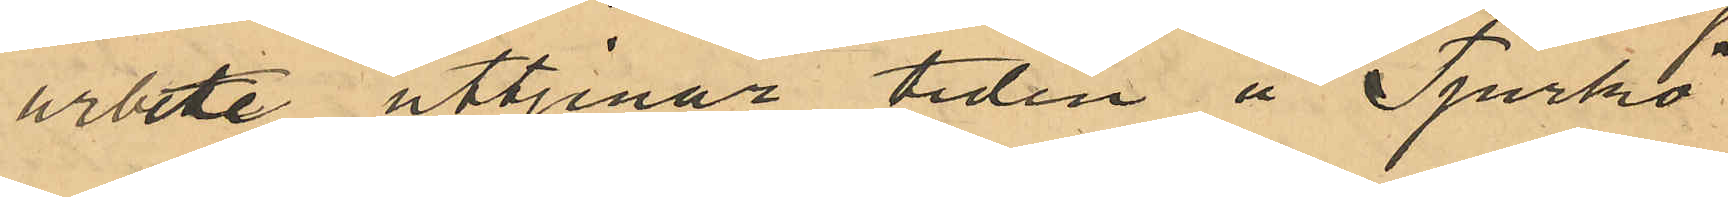arbete uttjenar tiden å Tjurkö
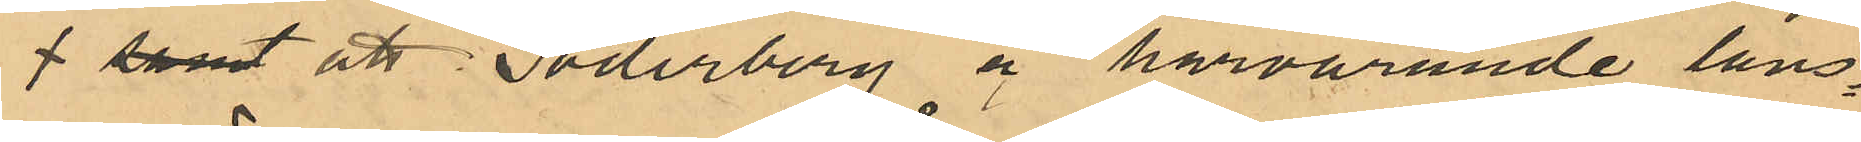samt att Söderberg å härvarande läns¬
